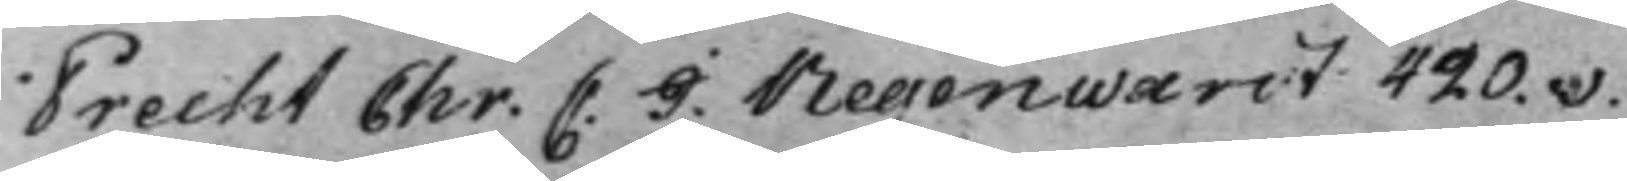Precht Chr: C. I. Regenwardt 420.v.
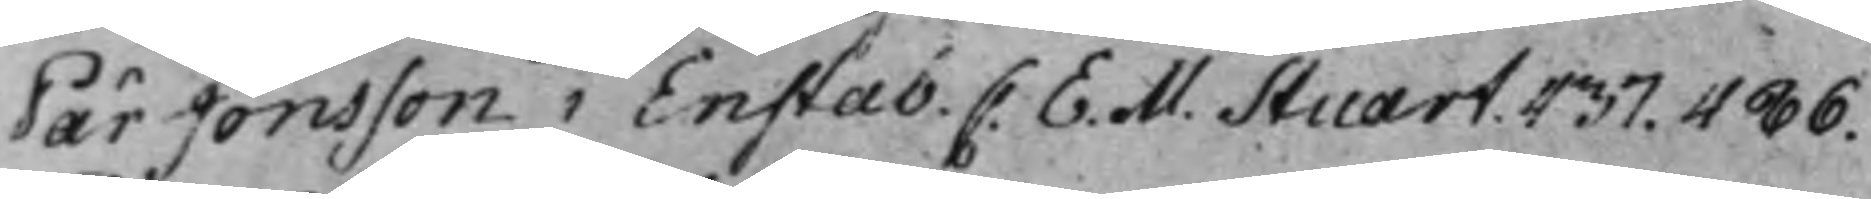Pär Jonsson i Enstab. C. E. M. Stuart. 437. 486.
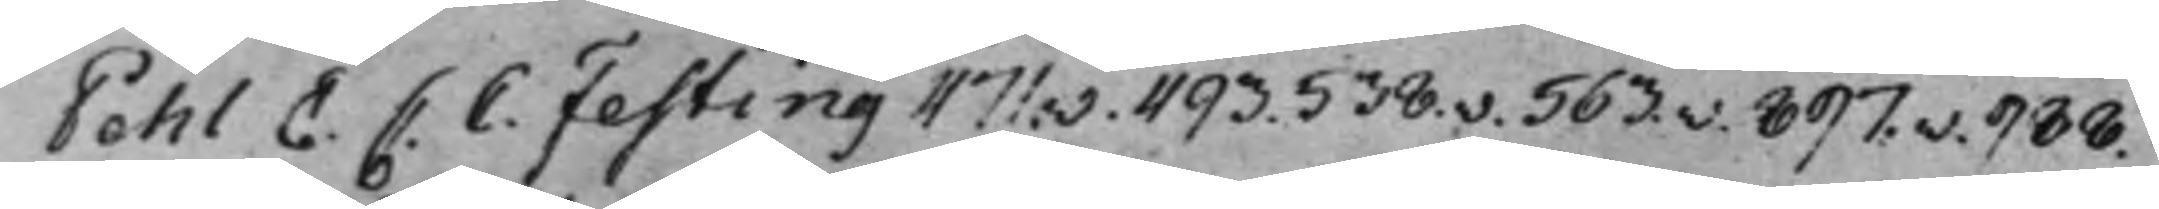Pehl E. C: C. Festing 471v. 493. 538.v. 563.v. 897.v. 988.
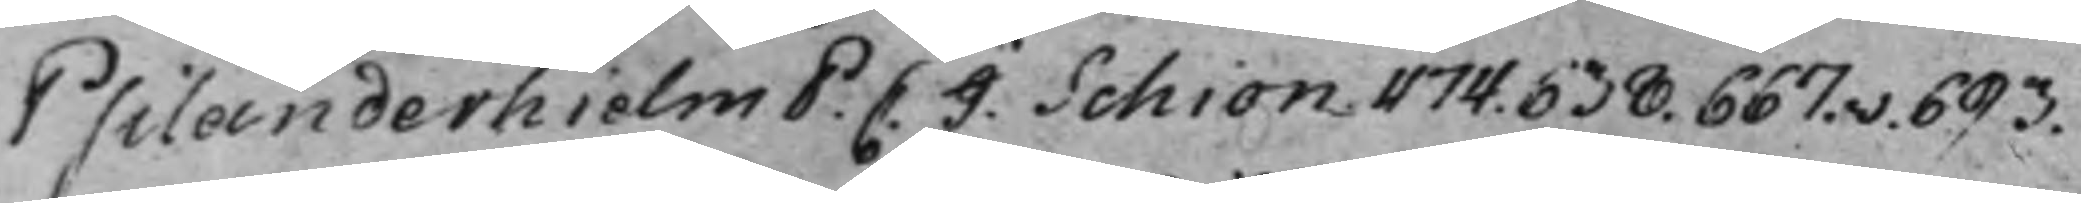Psilanderhielm P. C. J. Schiön 474. 638. 667.v. 693.
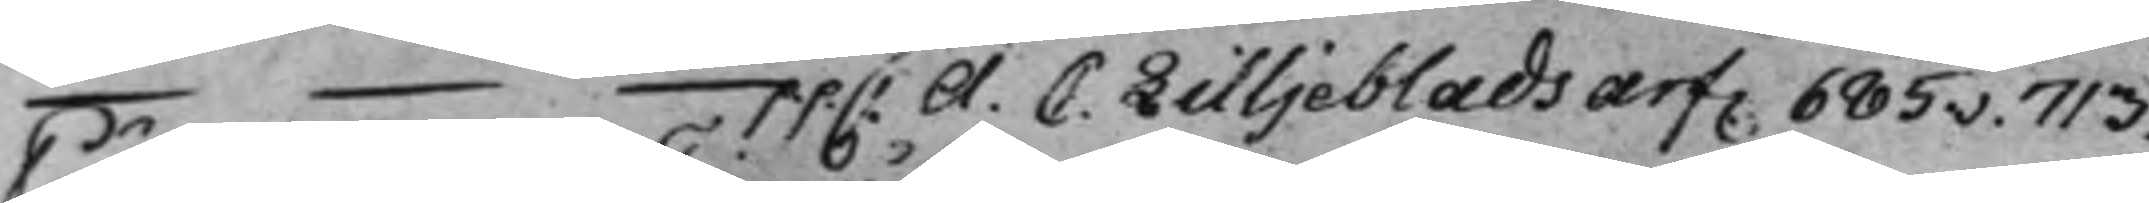— p.p. C. A. C. Lilljeblads arf. 685v. 713.
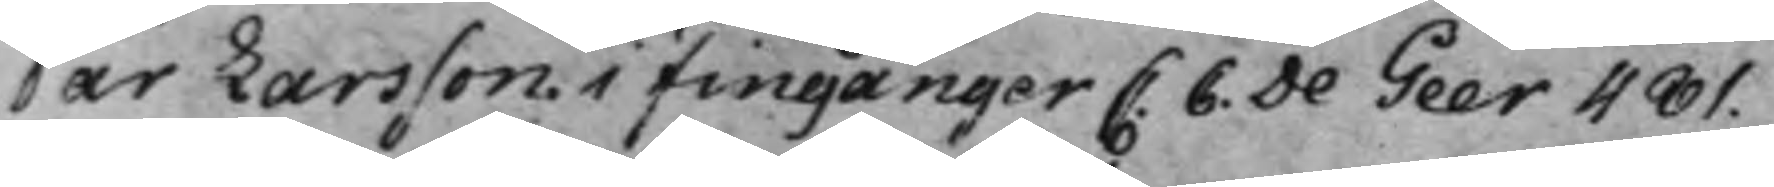Pär Larsson i Fingånger C. C. De Geer 481.
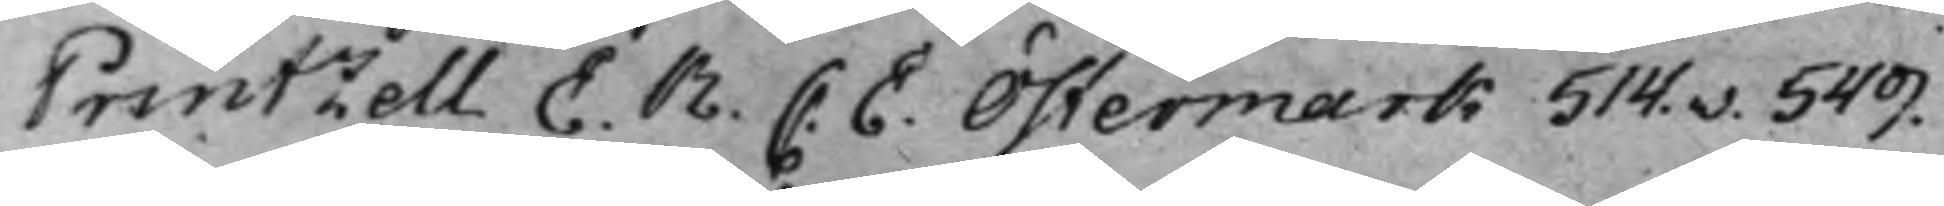Printzell E. R. C. E. Östermark 514.v. 549.
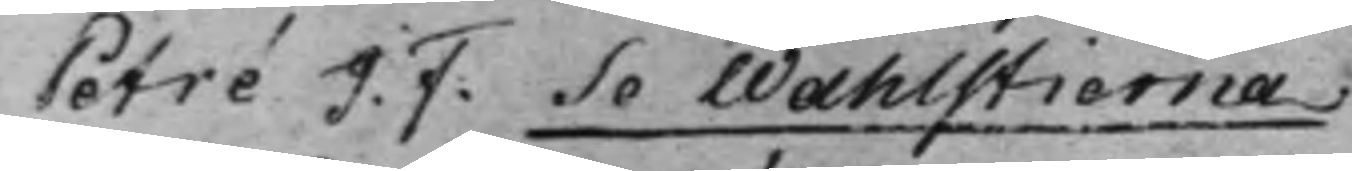Petré J. F. Se Wahlstierna.
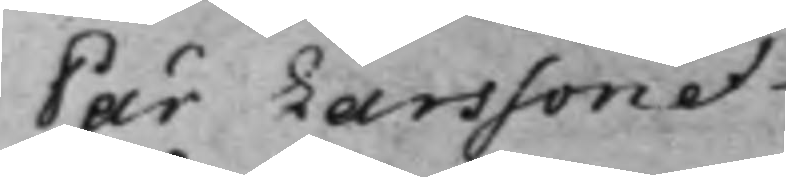Pär Larsson et
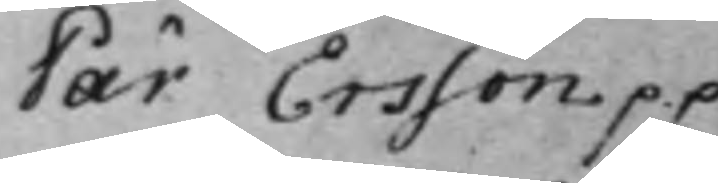Pär Ersson p.p.
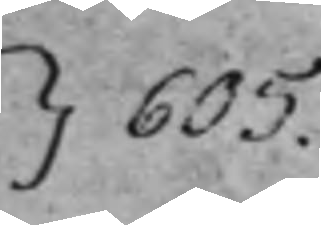}605.
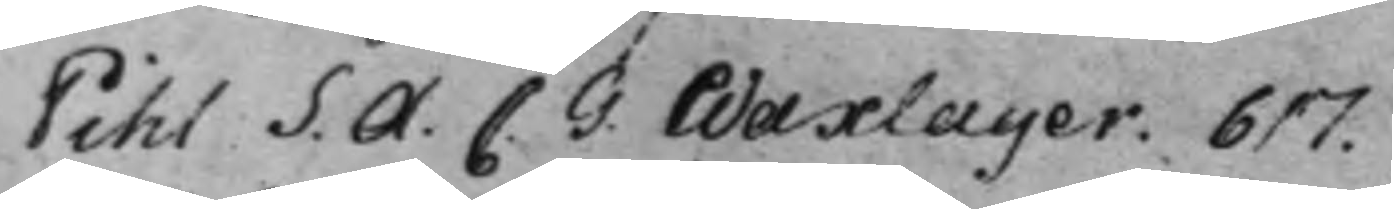Pihl S. A. C. G: Waxlager. 617.
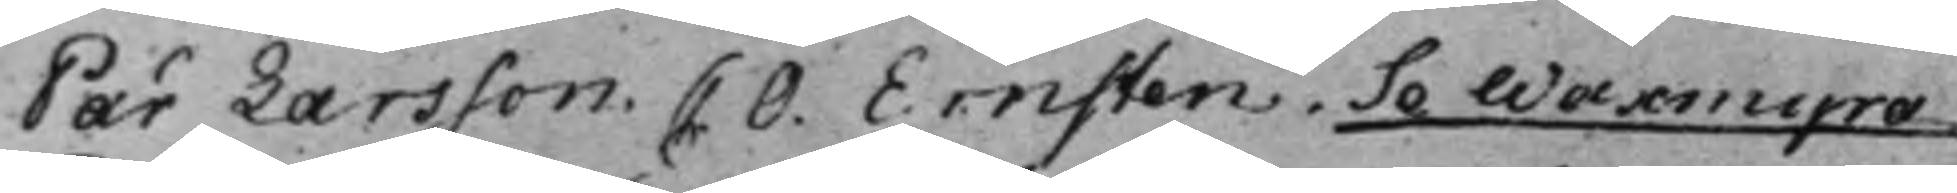Pär Larsson C. O. Ernsten. Se Waxmyra.
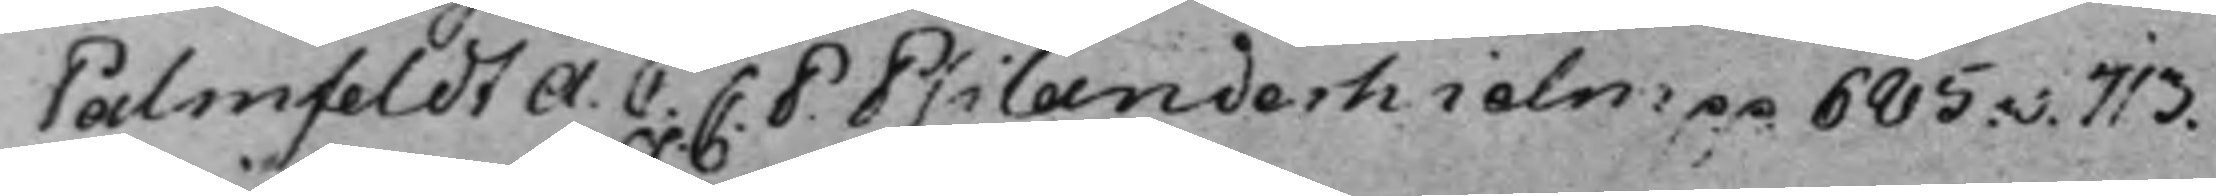Palmfeldt A. C. C. P: Psilanderhielm p.p. 685.v. 713.
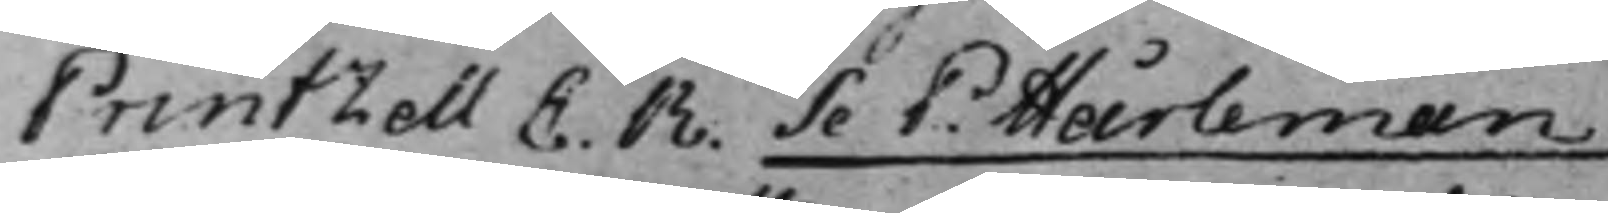Printzell E. R. Se P: Hårleman
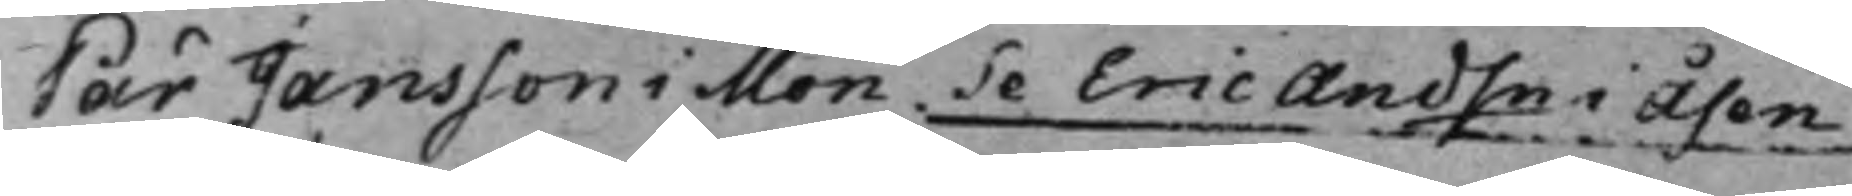Pär Jansson i Mon Se Eric Andsn i Åsen
